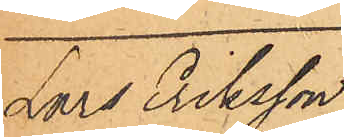Lars Eriksson
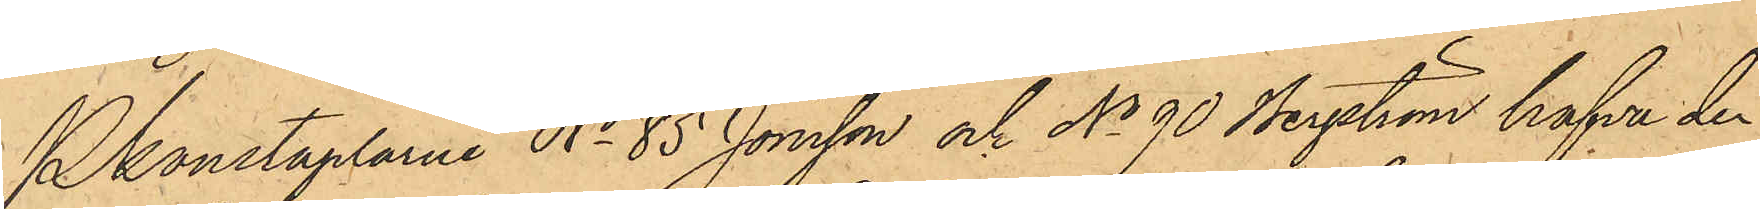Pkonstaplarne No 85 Jonsson och No 90 Bergström hafva den
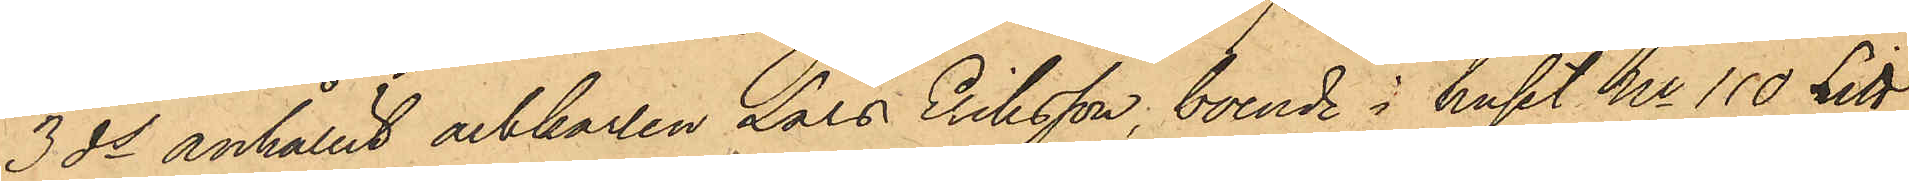3 ds anhållit arbkarlen Lars Eriksson, boende i huset No 110 Litt
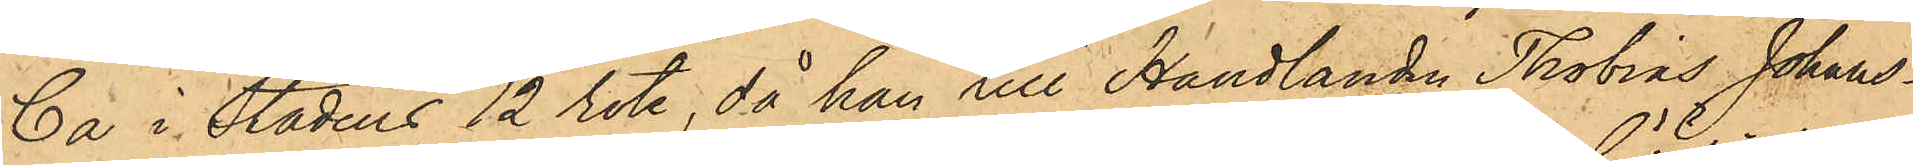Ca i Stadens 12 rote, då han till Handlanden Thobias Johans¬
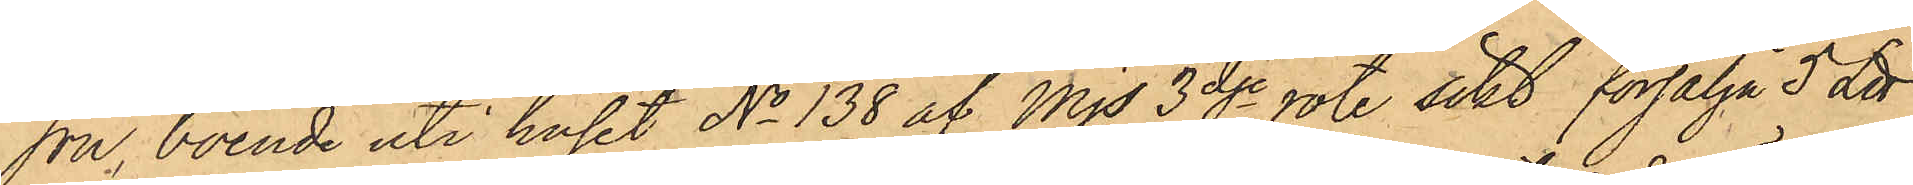son, boende uti huset No 138 af Mjs 3dje rote sökt försälja 5 L℔
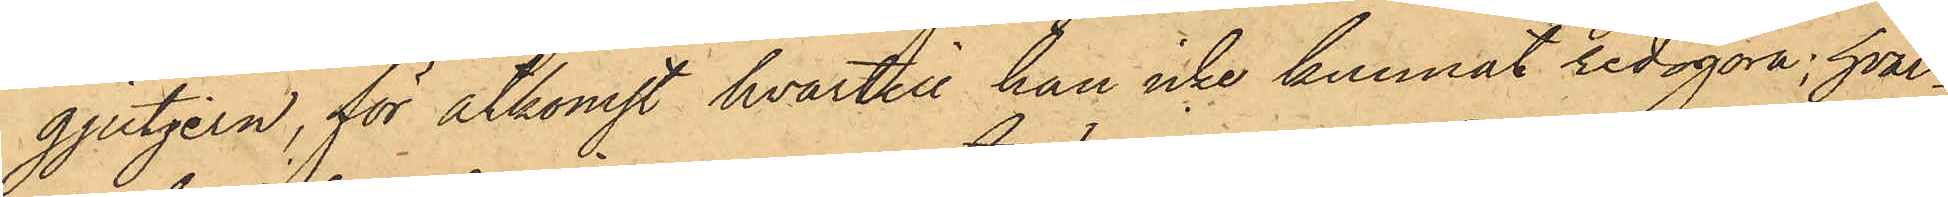gjutjern, för åtkomst hvartill han icke kunnat redogöra, hvar¬
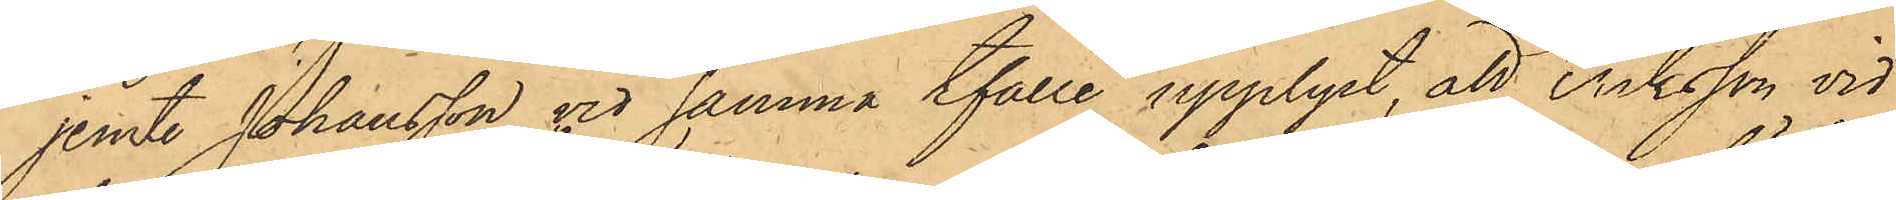jemte Johansson vid samma tfälle upplyst, att Eriksson vid
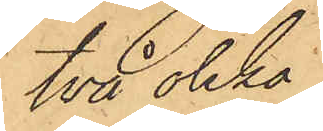två olika
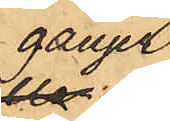gånger
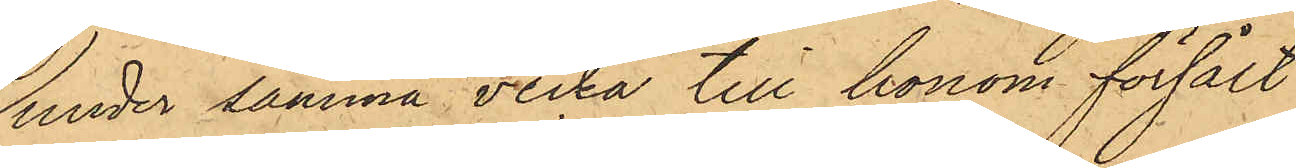under samma vecka till honom försålt
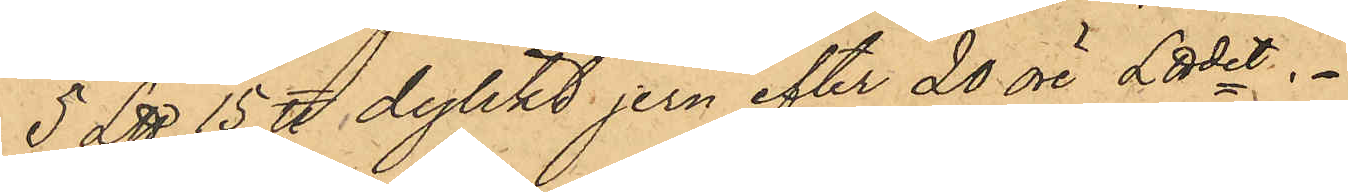5 L℔ 15 ℔ dylikt jern efter 20 öre L℔det.
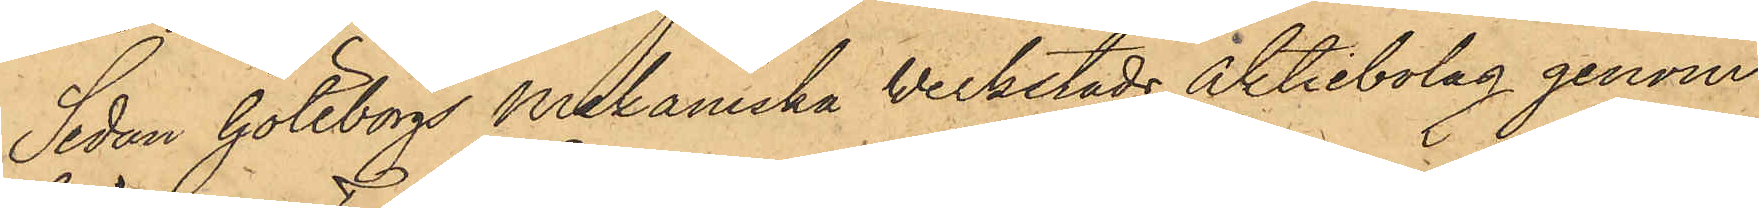Sedan Göteborgs Mekaniska Werkstads Aktiebolag genom
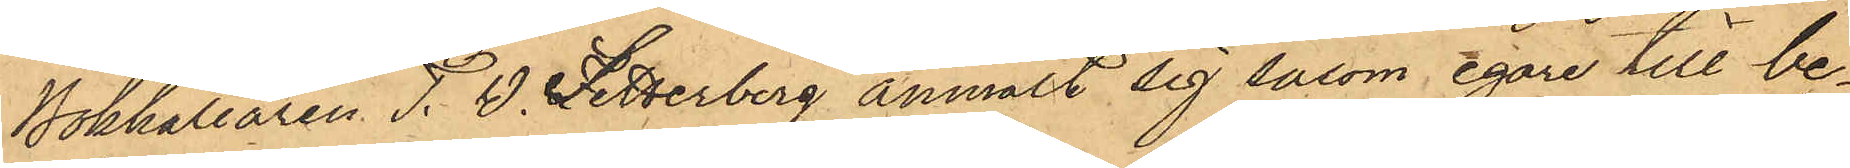Bokhållaren T. W. Setterberg anmält sig såsom egare till be¬
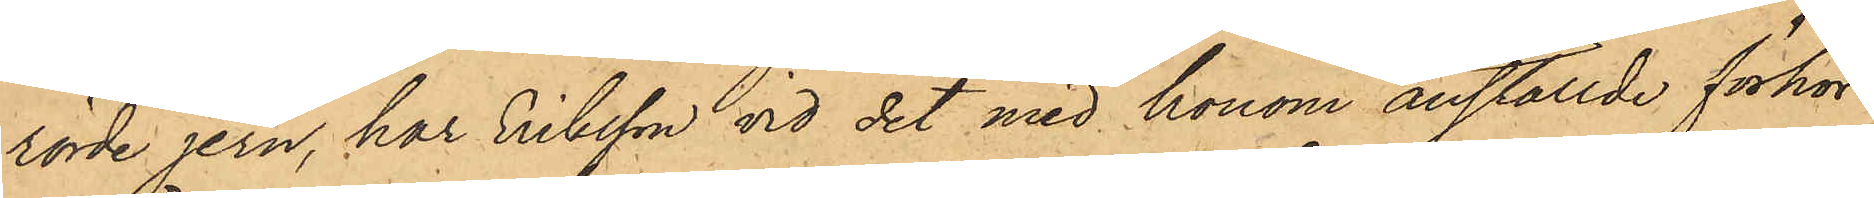rörde jern, har Eriksson vid det med honom anställde förhör
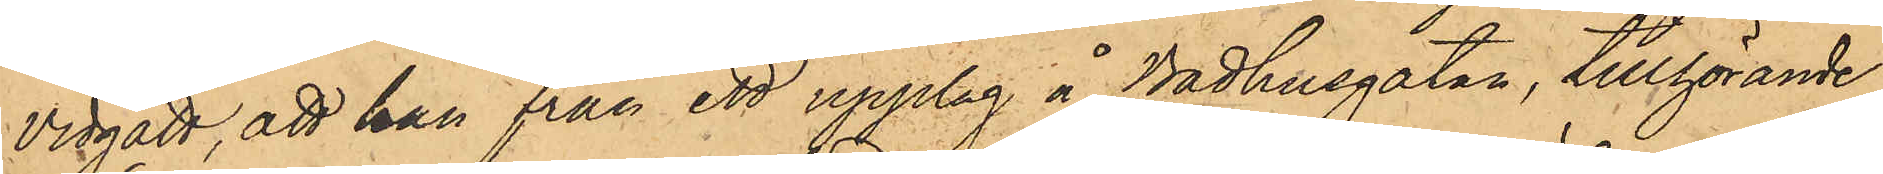vidgått, att han från ett upplag å Badhusgatan, tillhörande
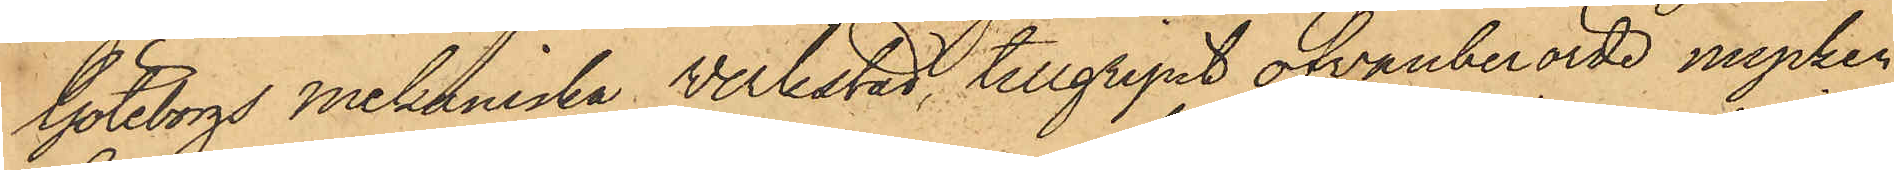Göteborgs Mekaniska Verkstad, tillgripit ofvanberörde mycken¬
